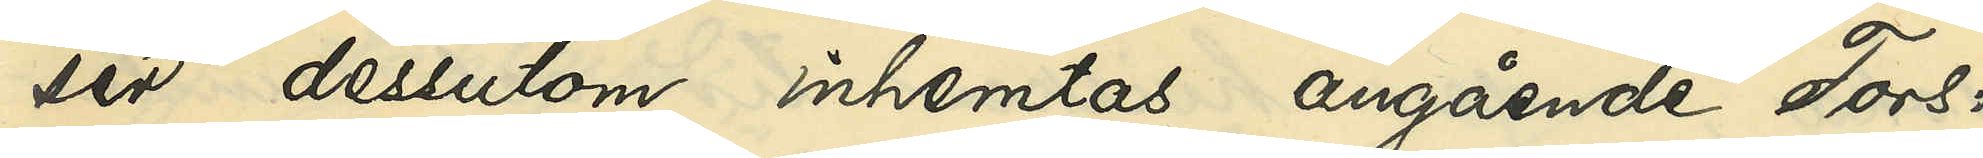ser dessutom inhemtas angående Fors:
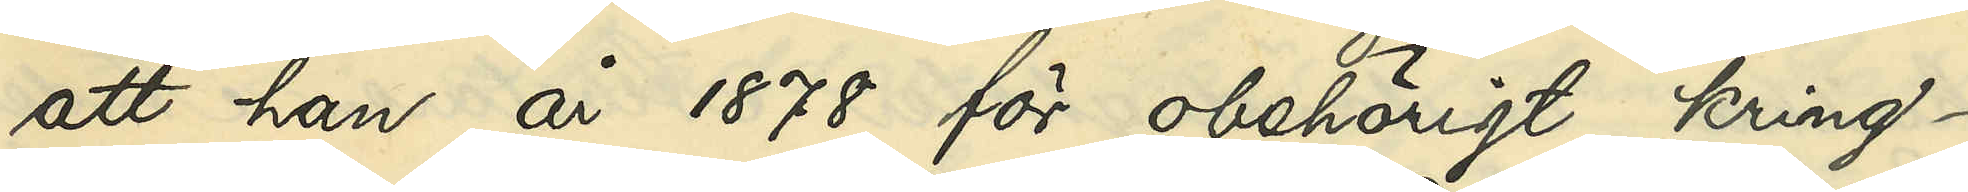att han år 1878 för obehörigt kring¬
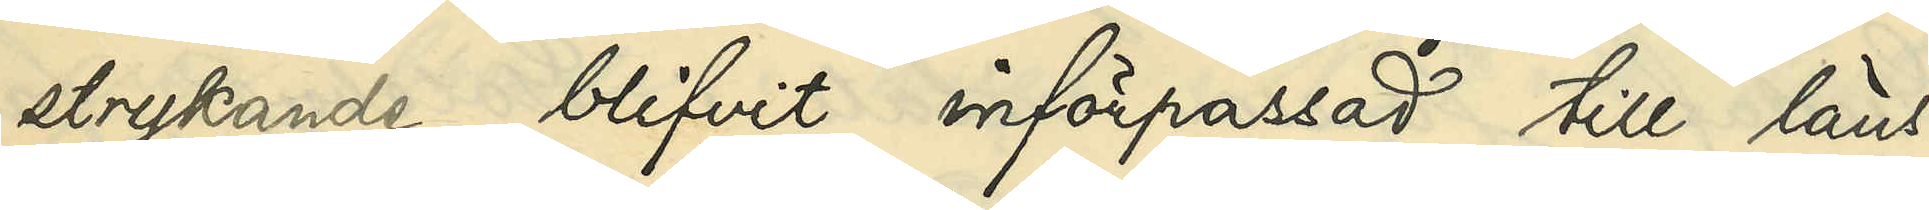styrkande blifvit införpassad till läns¬
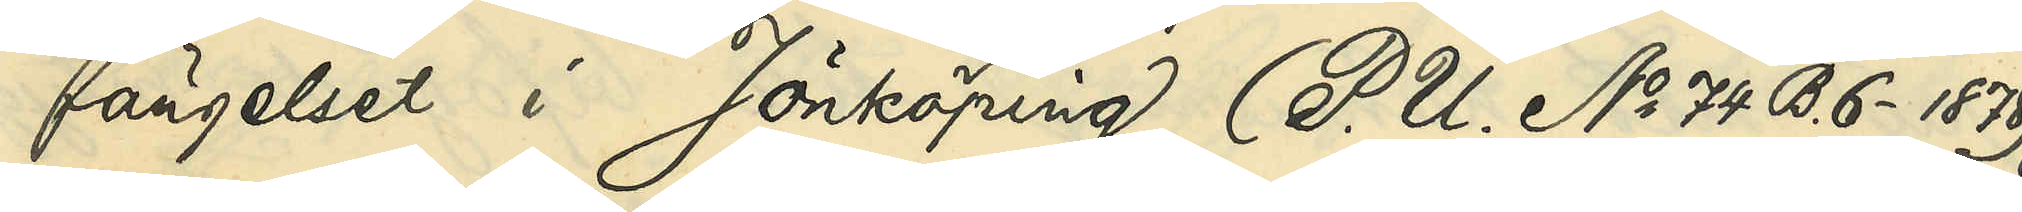fängelset i Jönköping (P. U. No 74 B. 6- 1878);
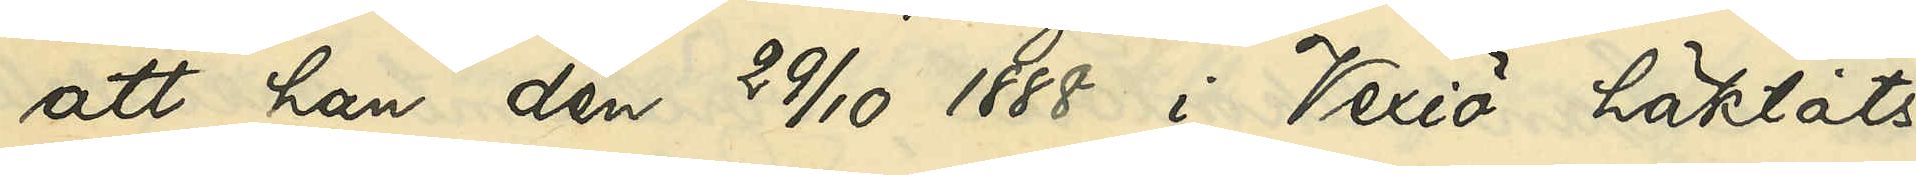att han den 29/10 1888 i Vexiö häktats
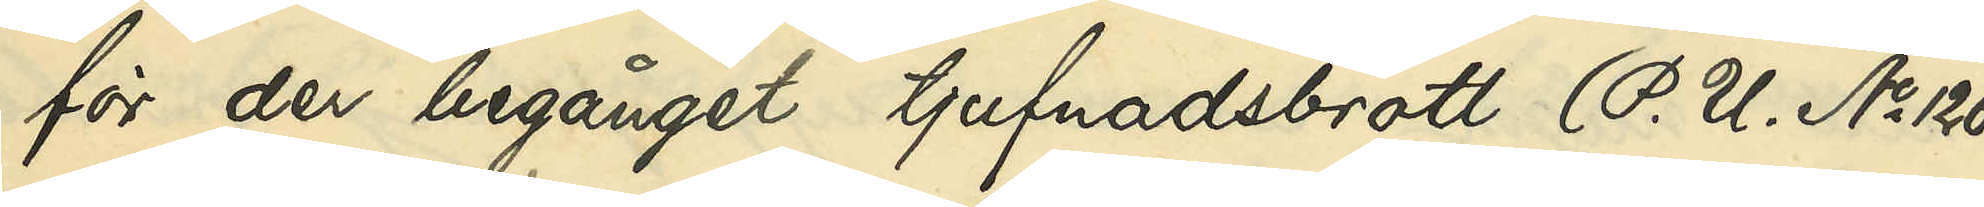för begånget tjufnadsbrott (P. U. No 126
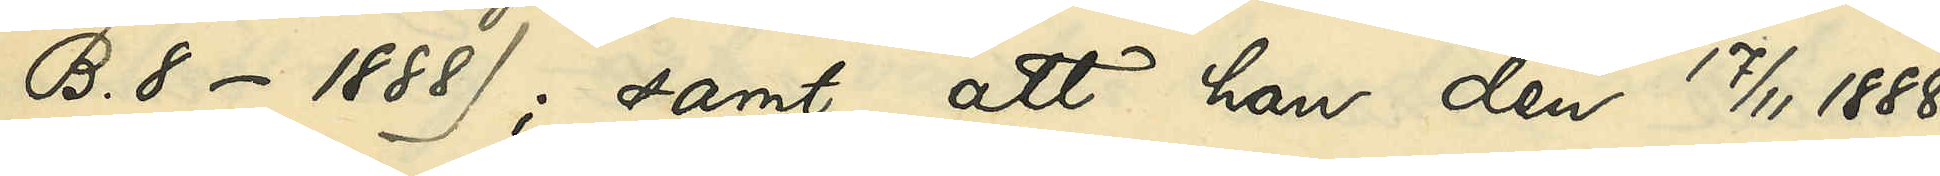B. 8 - 1888); samt att han den 17/11 1888
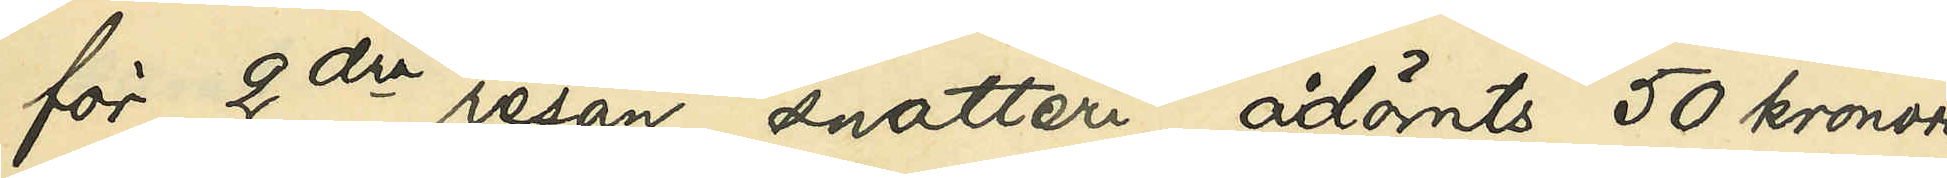för 2dra resan snatteri ådömts 50 kronors
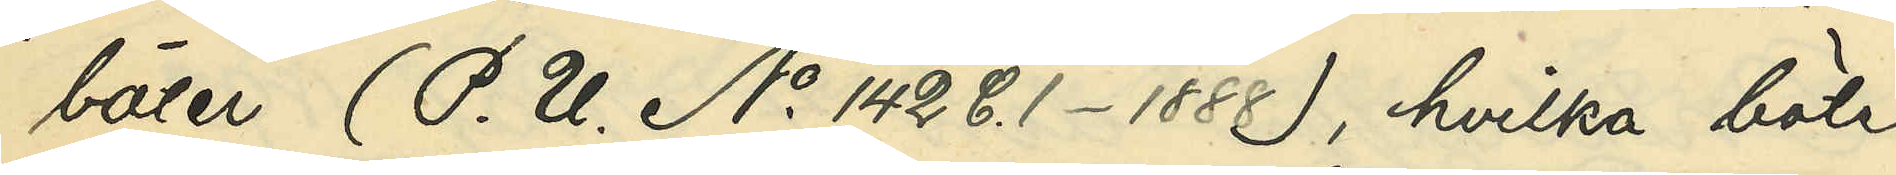böter (P. U. No 142 C. 1 - 1888), hvilka böter
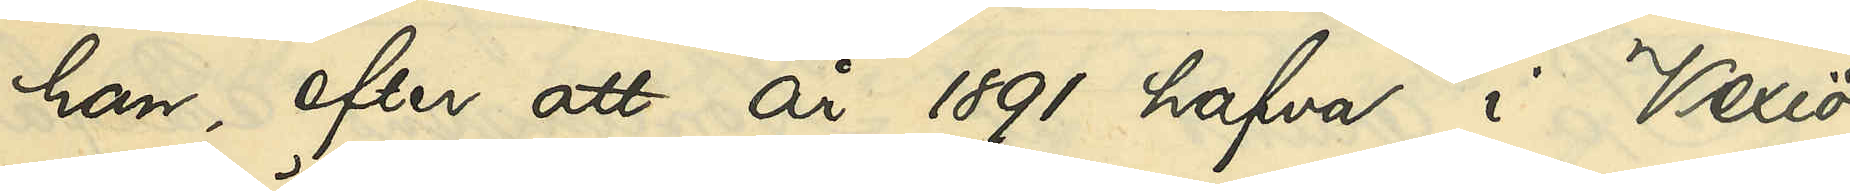han, efter att år 1891 hafva i Vexiö
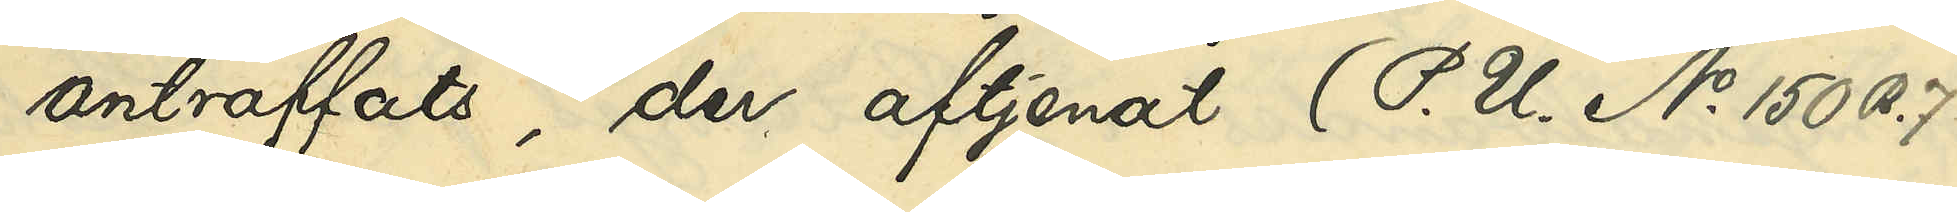anträffats, der aftjenat (P. U. No 150 B. 7
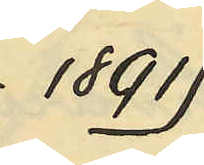- 1891).
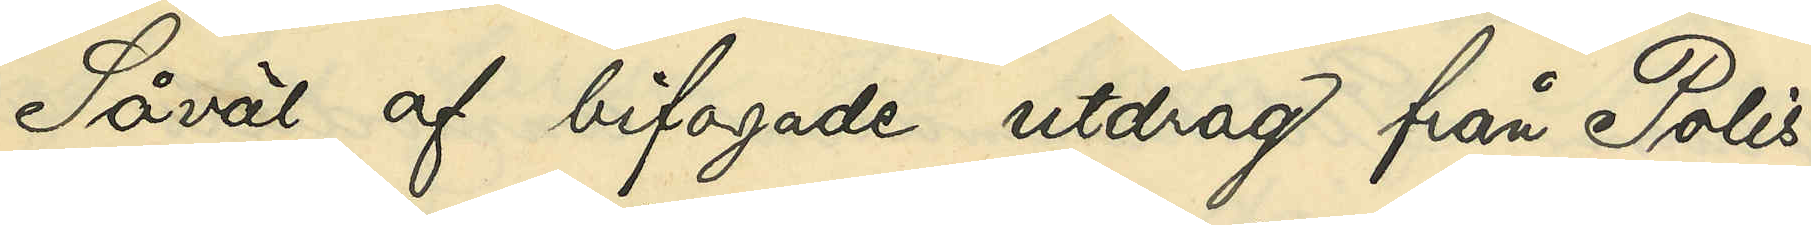Såväl af bifogade utdrag från Polis¬
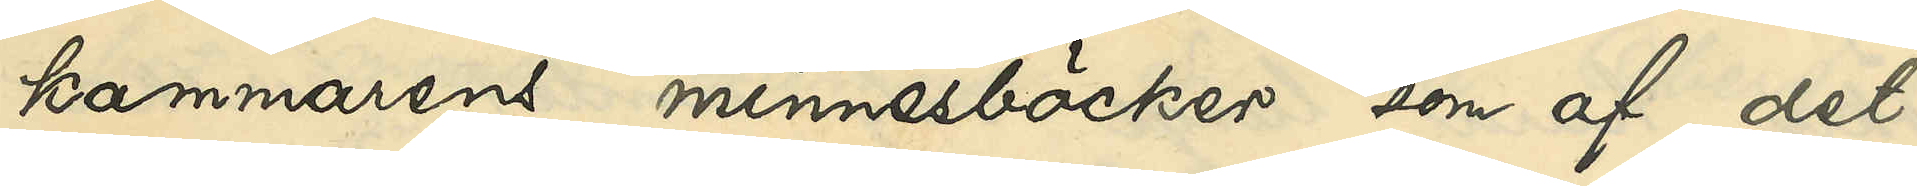kammarens minnesböcker som af det
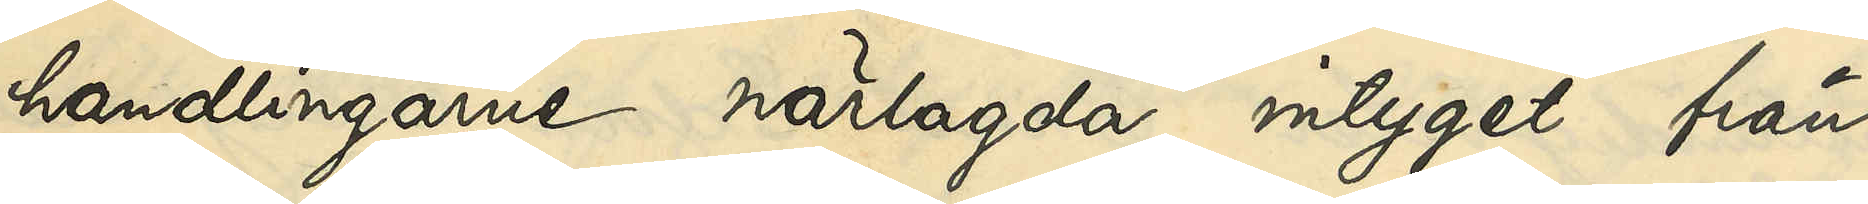handlingarne närlagda intyget från
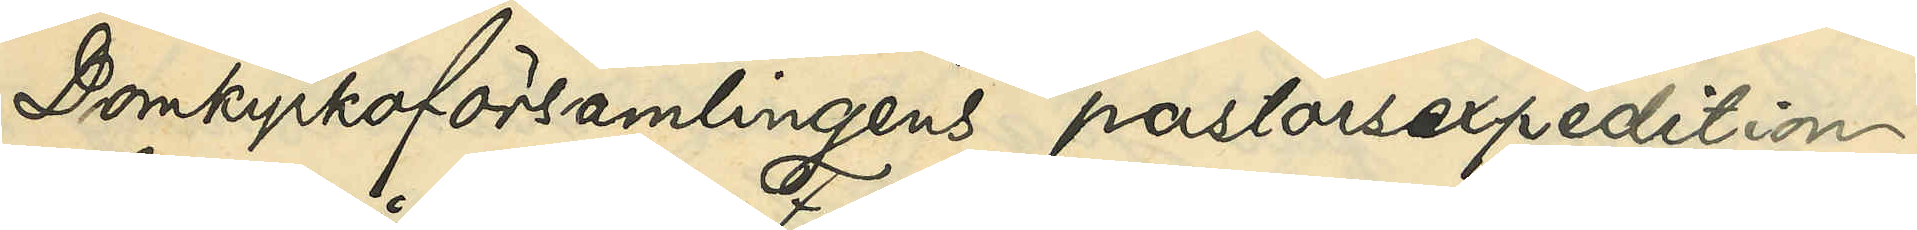Domkyrkoförsamlingens pastorsexpedition
